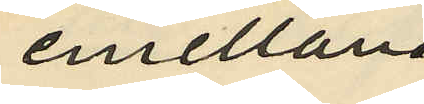emellan
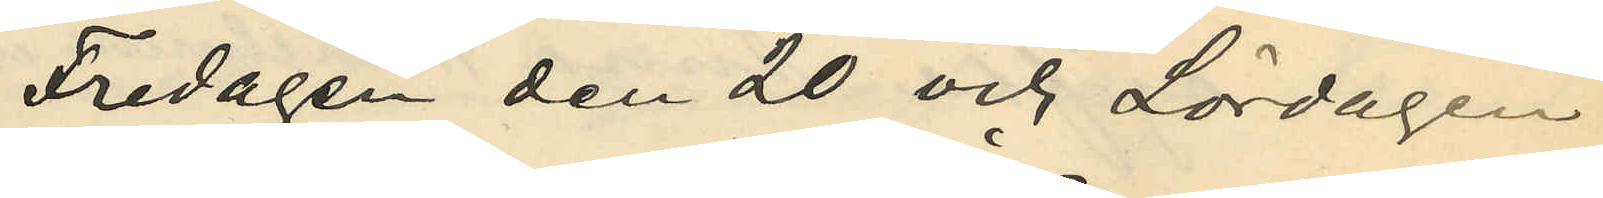Fredagen den 20 och Lördagen
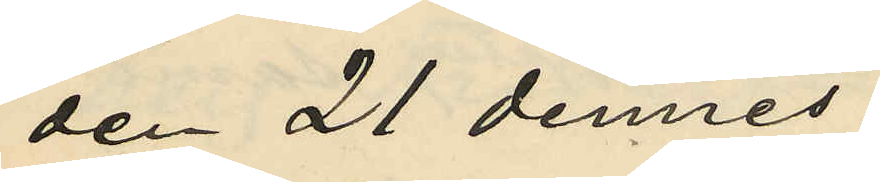den 21 dennes,
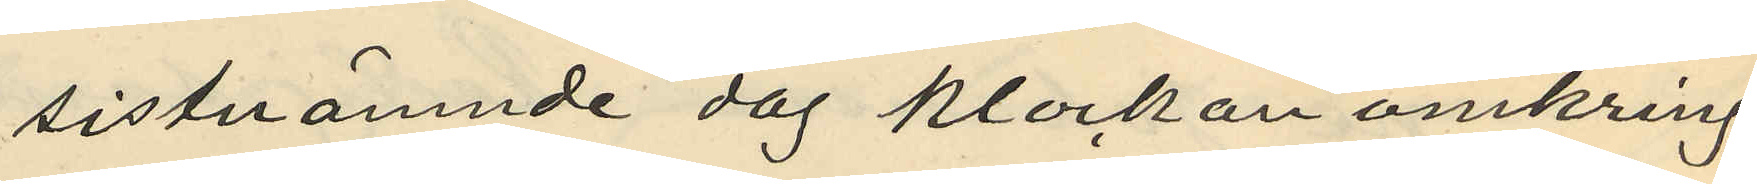sistnämnde dag klockan omkring
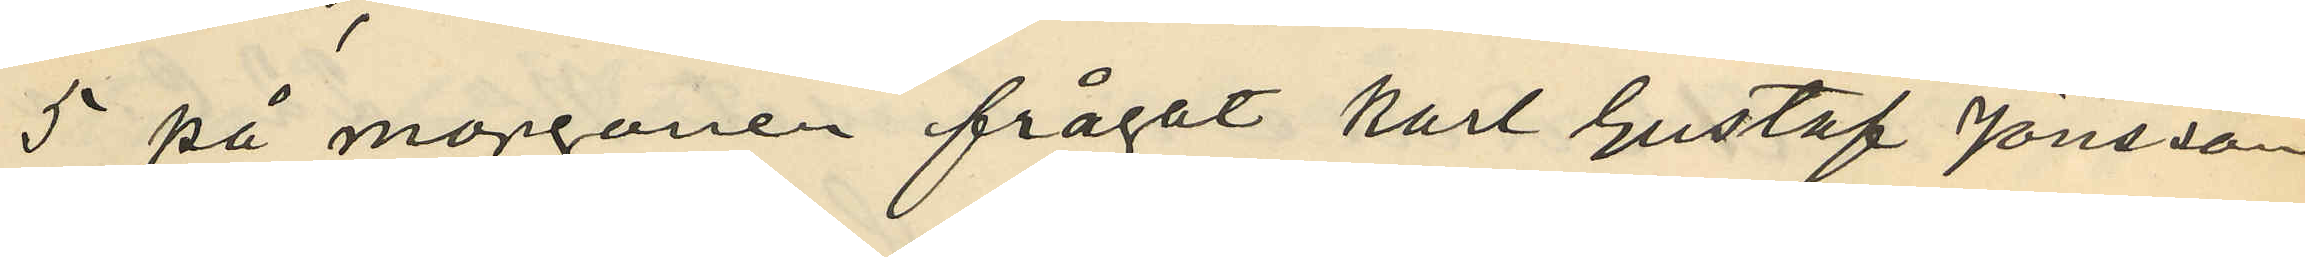5 på morgonen frågat Karl Gustaf Jönsson
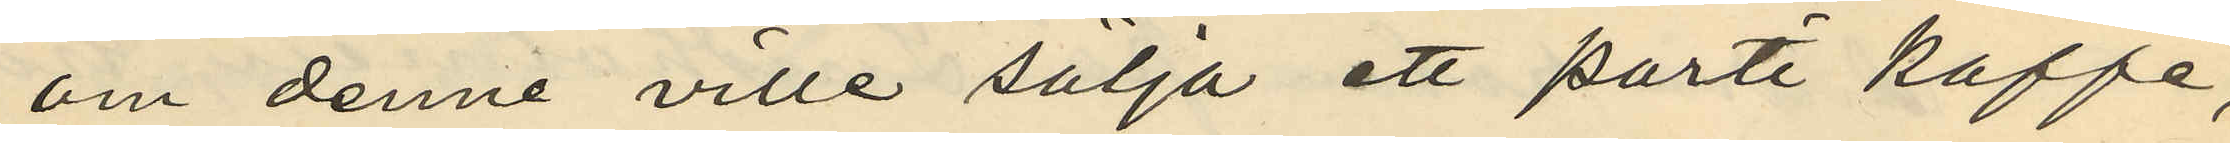om denne ville sälja ett parti kaffe,
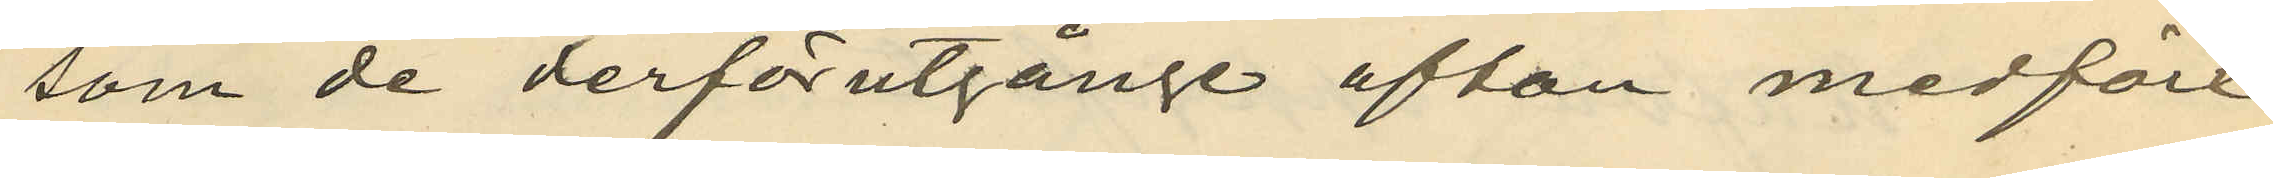som de derförutgånge afton medfört
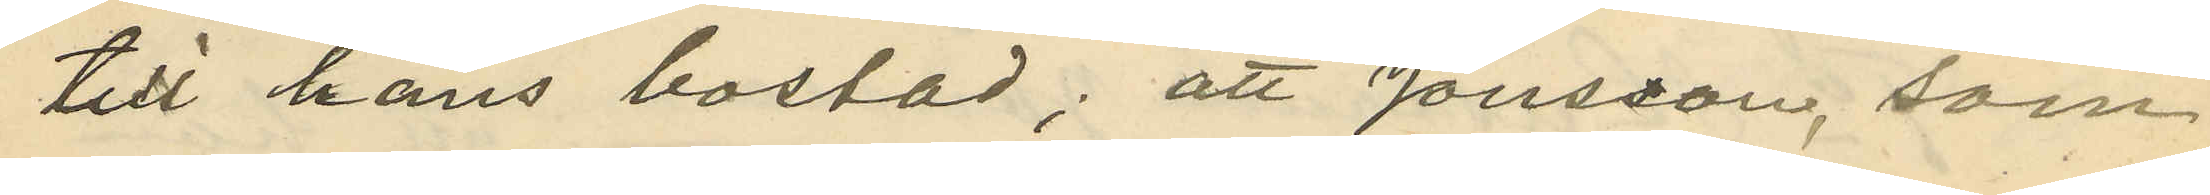till hans bostad; att Jönsson, som
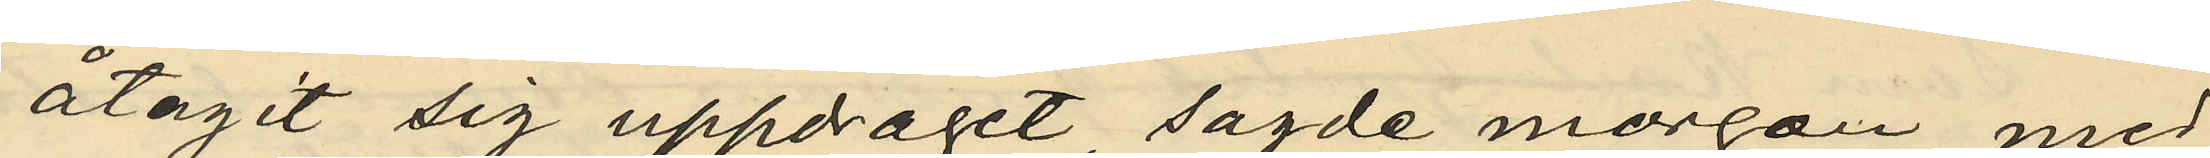åtagit sig uppdraget, sagde morgon med
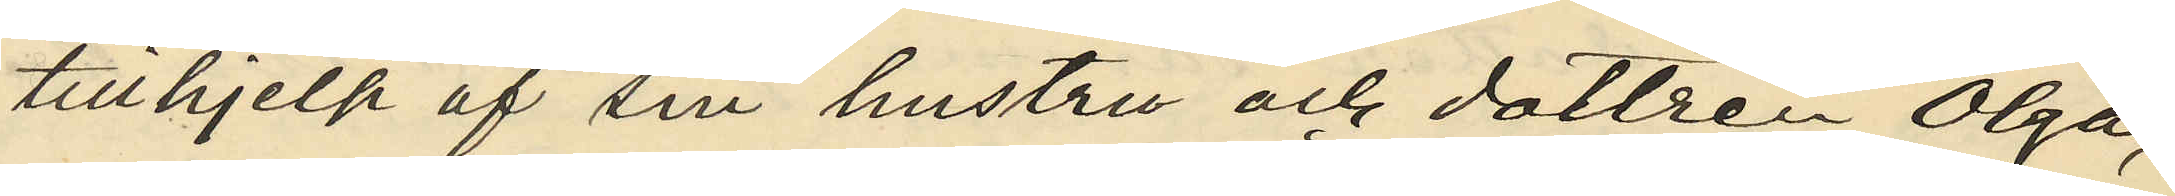tillhjelp af sin hustru och dottren Olga,
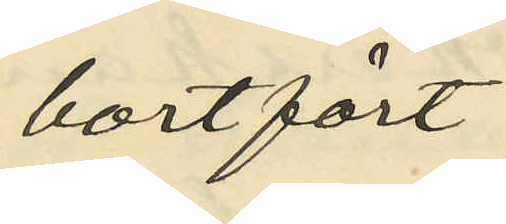bortfört
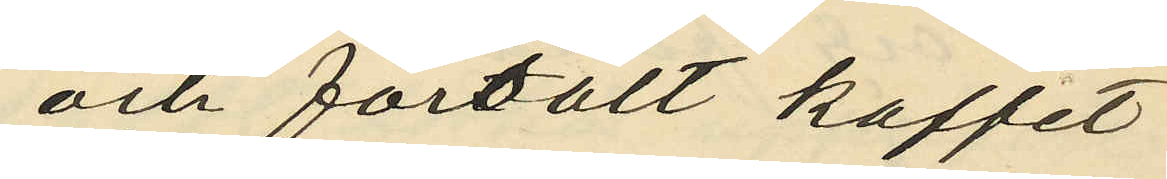och försålt kaffet
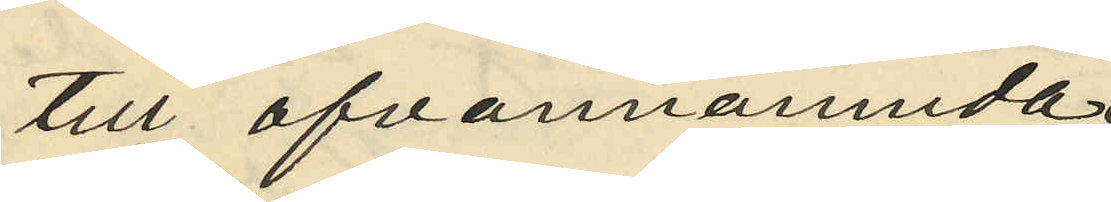till ofvannämnda
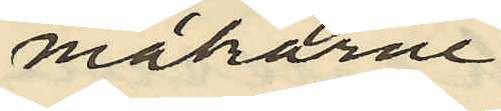makarne
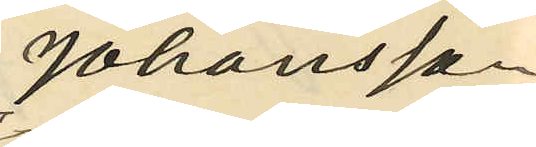Johansson
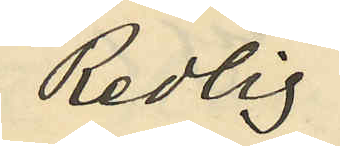Redlig;
